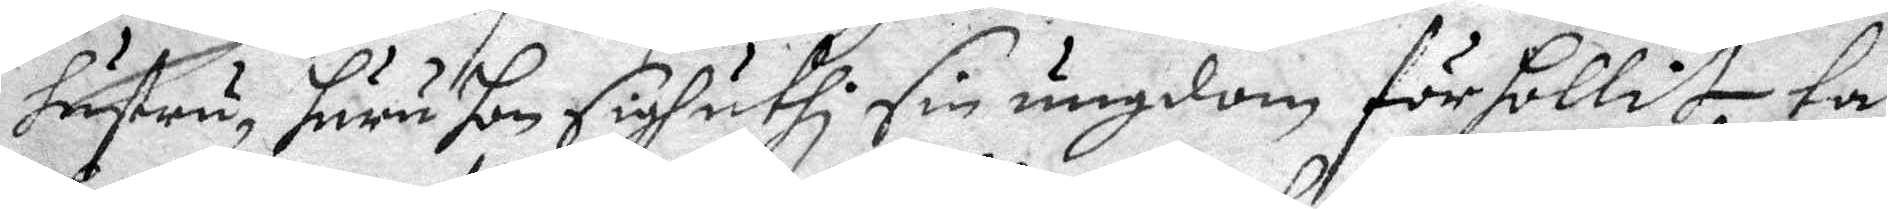hustru, huru hon sigh uthi sin ungdom förhollit, tå 
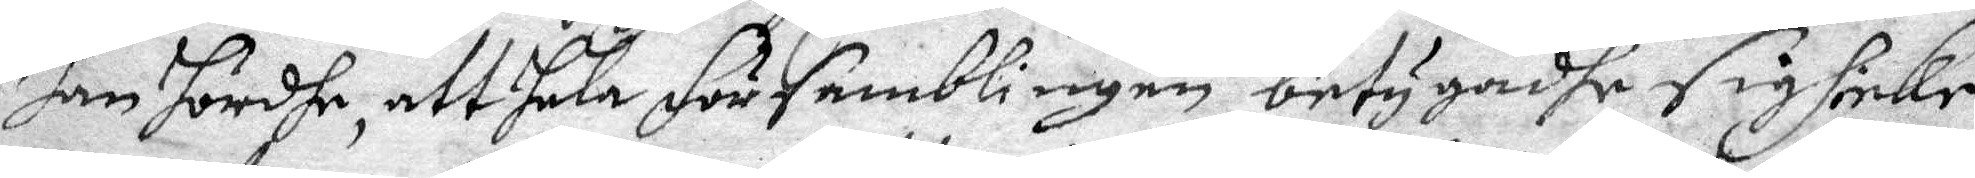han hördhe, att hela församblingen betygadhe sigh icke
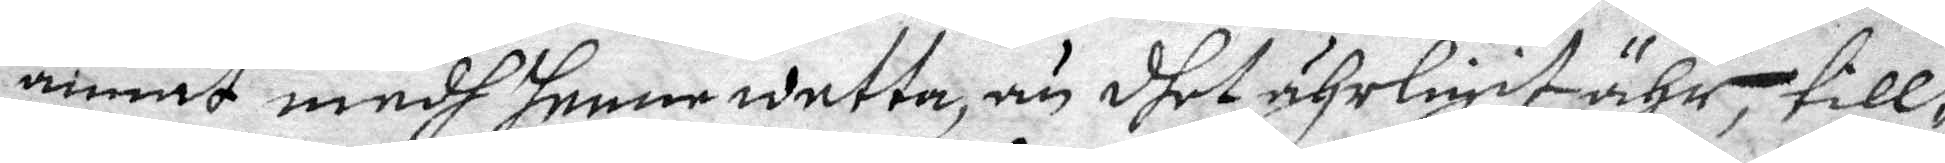annat medh henne wetta, än dhet ährligit ähr, till¬
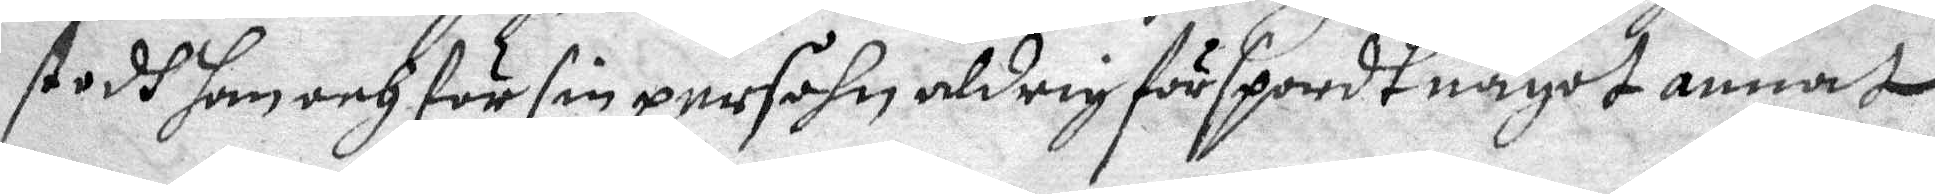stodh han och för sin persohn aldrig förspordt något annat.
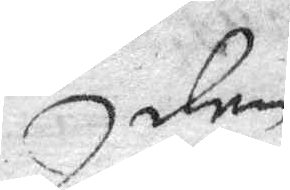den
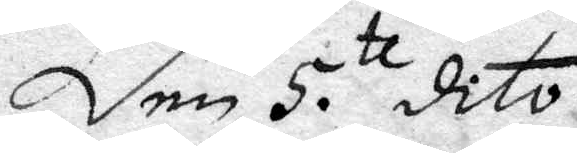Den 5.te dito.
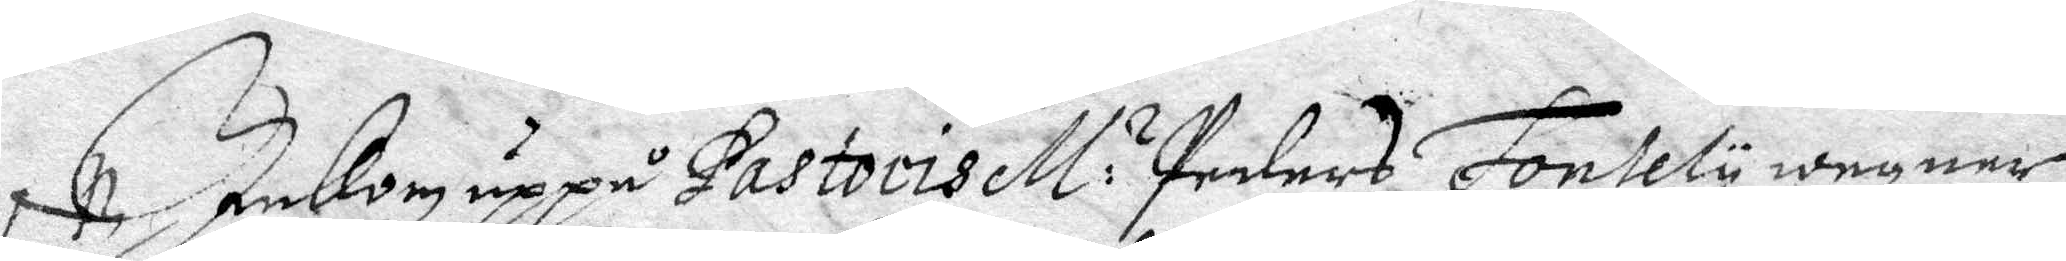Inkom uppå Pastoris M:r Peders Fontely wegner
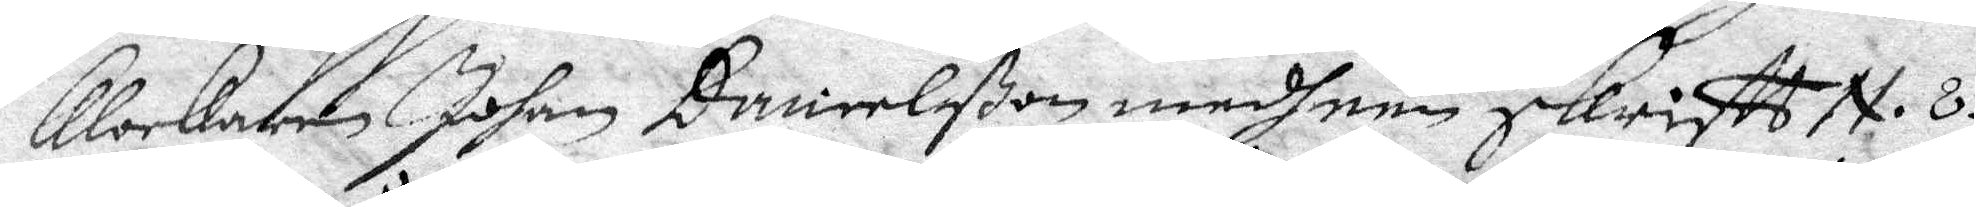Klockaren Johan Danielßon medh een skriftt N.8
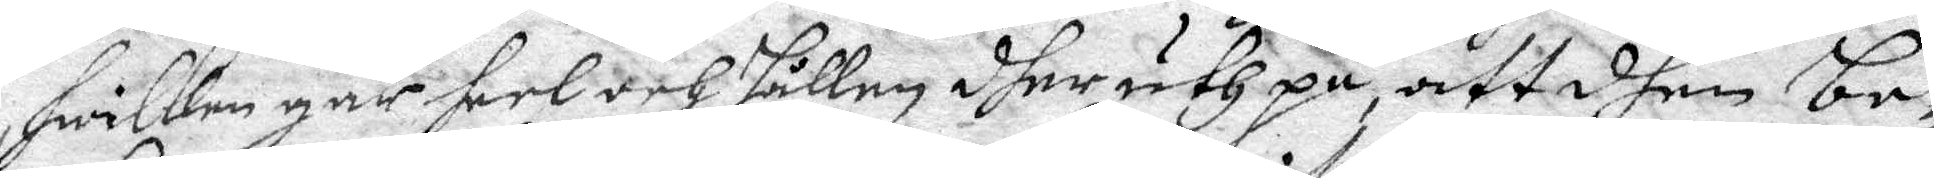hwilken går heel och hållen dher uth på att dhen be¬
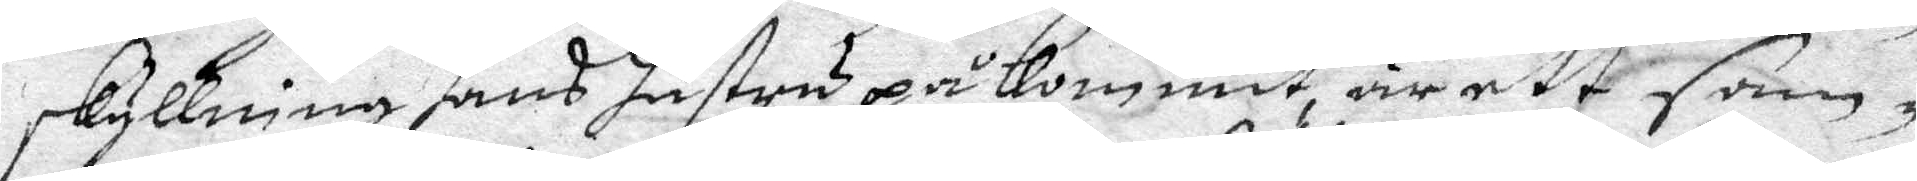skyllning hans hustru påkommit, är ett sam¬
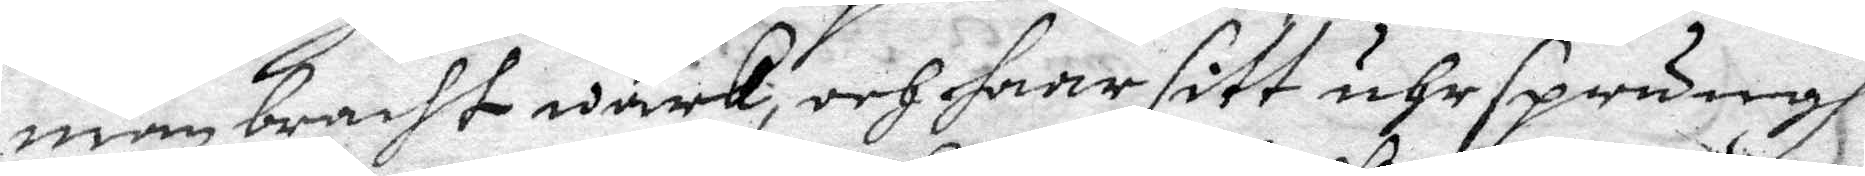manbracht wärk, och haar sitt uhrsprungh
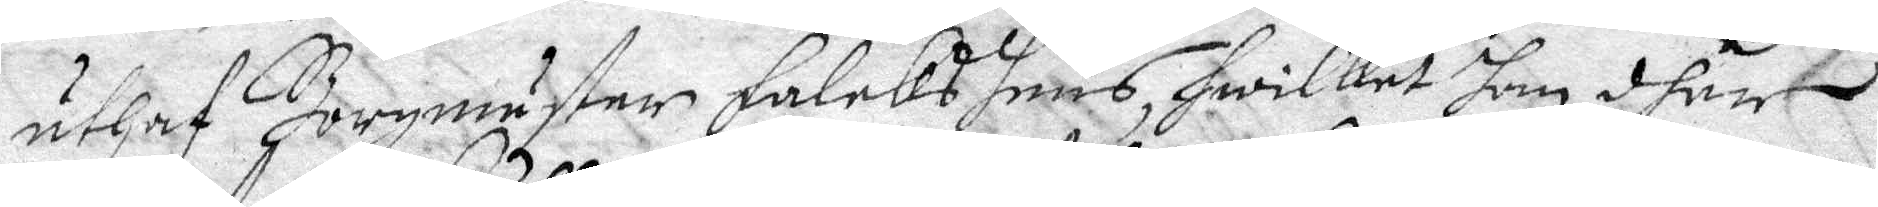uthaf Borgmästar Falcks huus, hwilket han dher
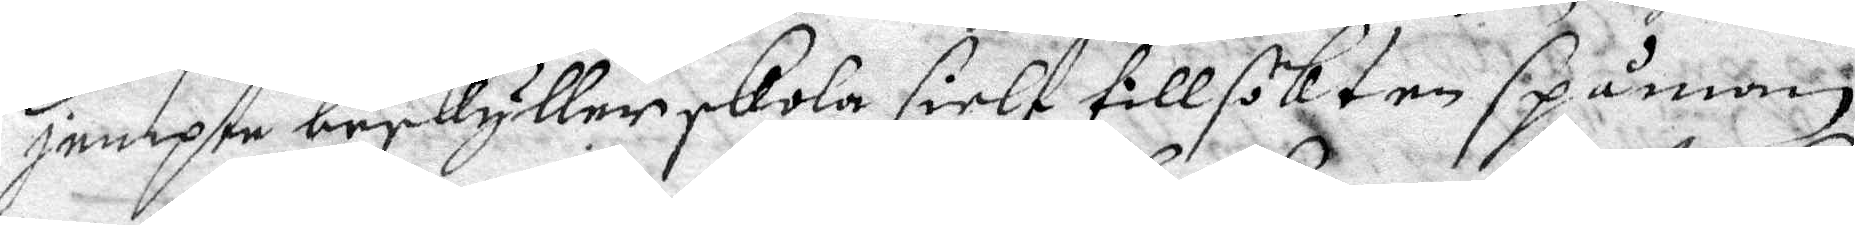jempte beskyller skola sielf tillsökt en spåman
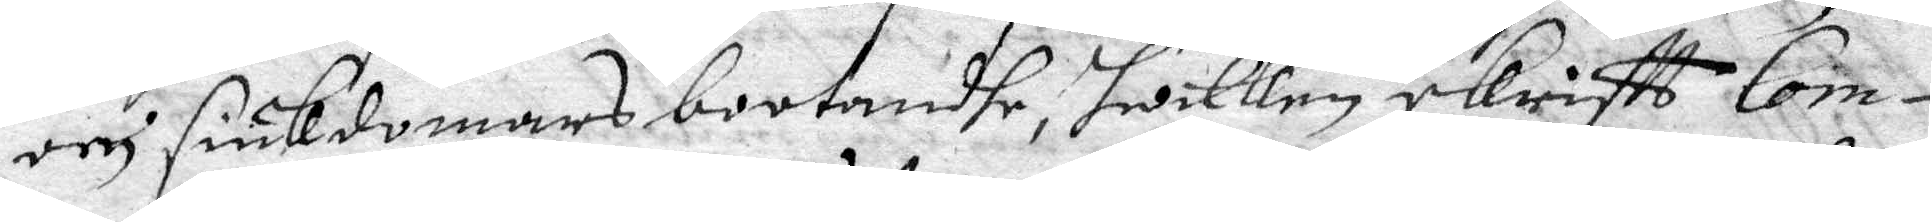och siukdomars bootandhe, hwilken skriftt Com¬
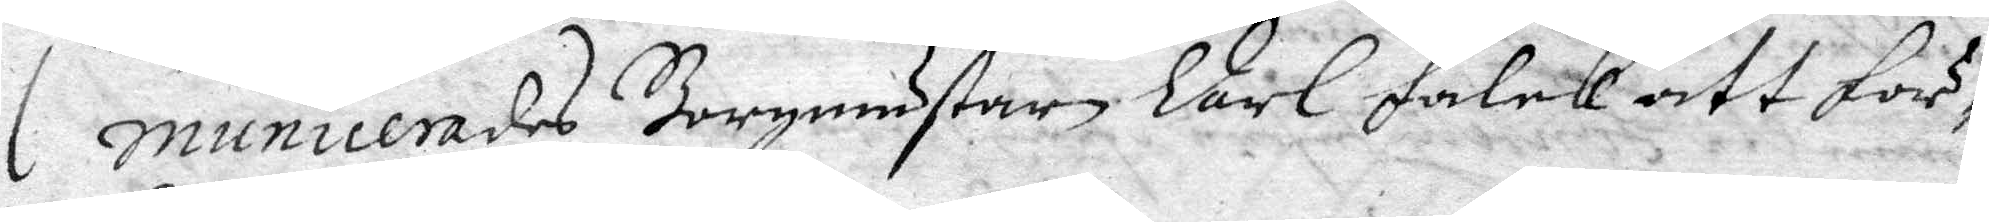municerades Borgmästare Carl Falck att för¬
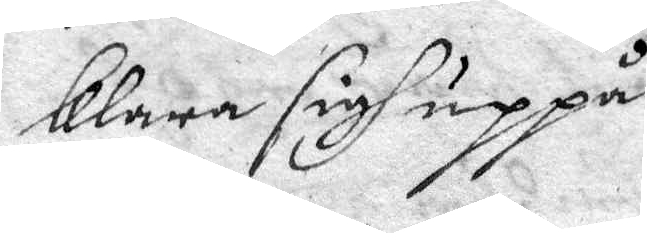klara sig uppå.
